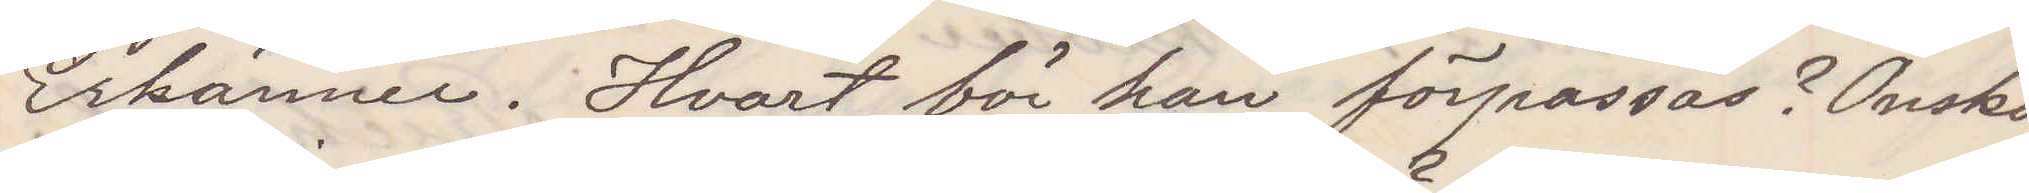Erkänner. Hvart bör han förpassas Önskas
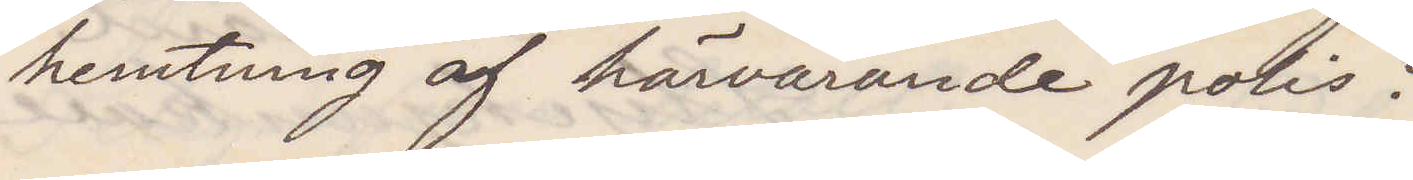hemtning af härvarande polis?
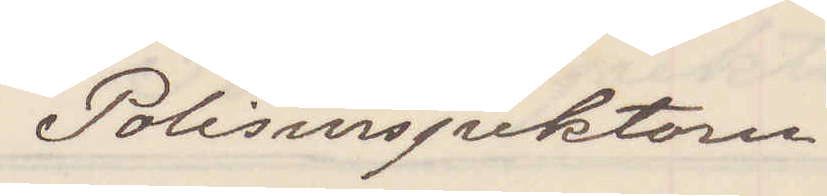Polisinspektorn.
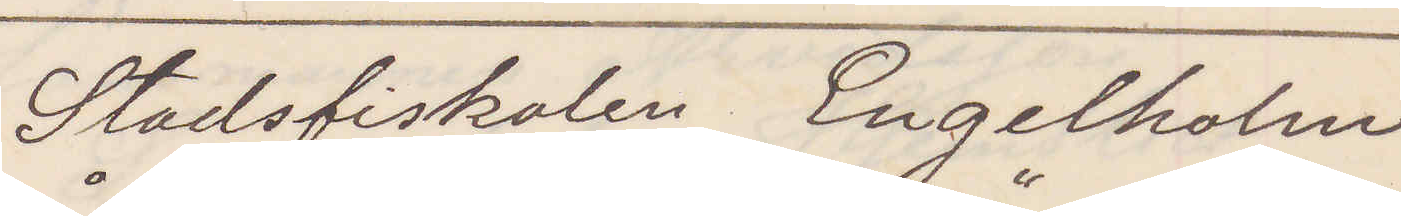Stadsfiskalen Engelholm
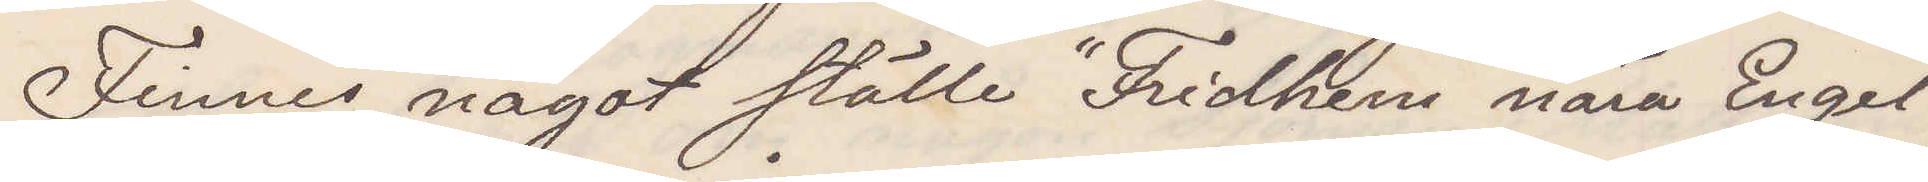Finnes något ställe "Fridhem" nära Engel¬
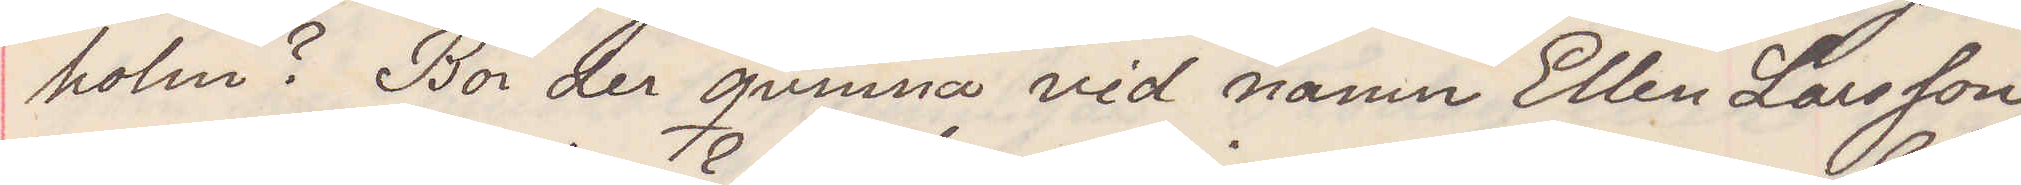holm? Bor der qvinna vid namn Ellen Larsson
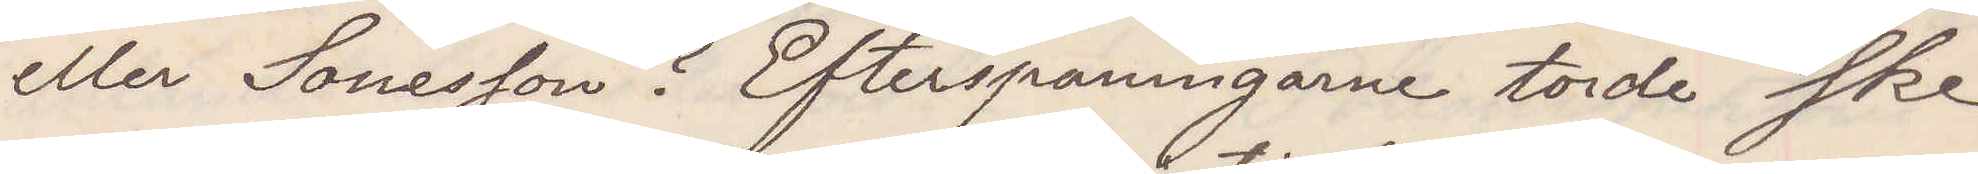eller Sonesson? Efterspaningarne torde sked
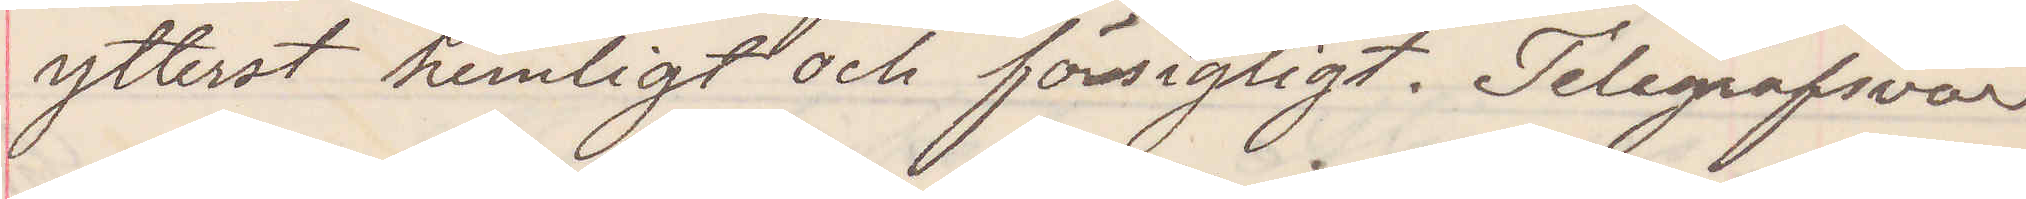ytterst hemligt och försigtigt. Telegrafsvar
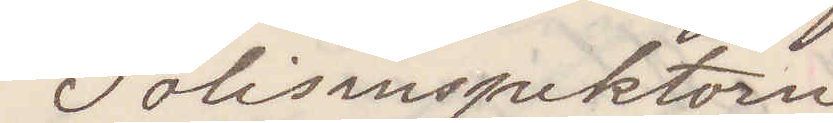Polisinspektorn
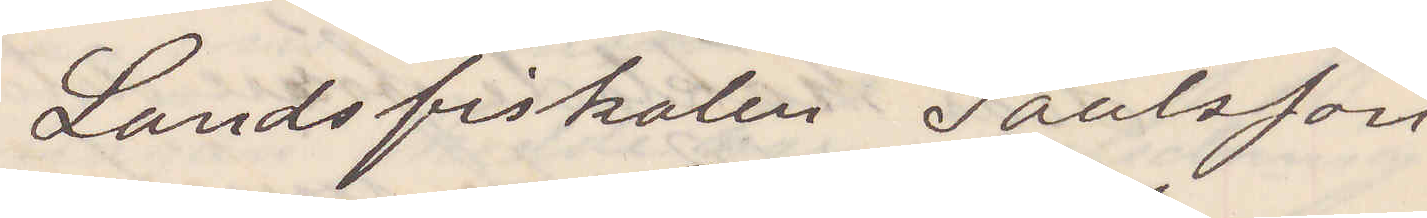Landsfiskalen Paulsson
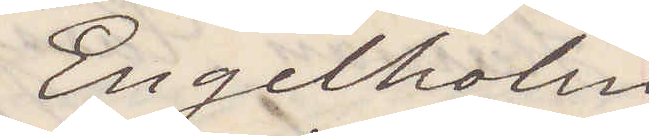Engelholm
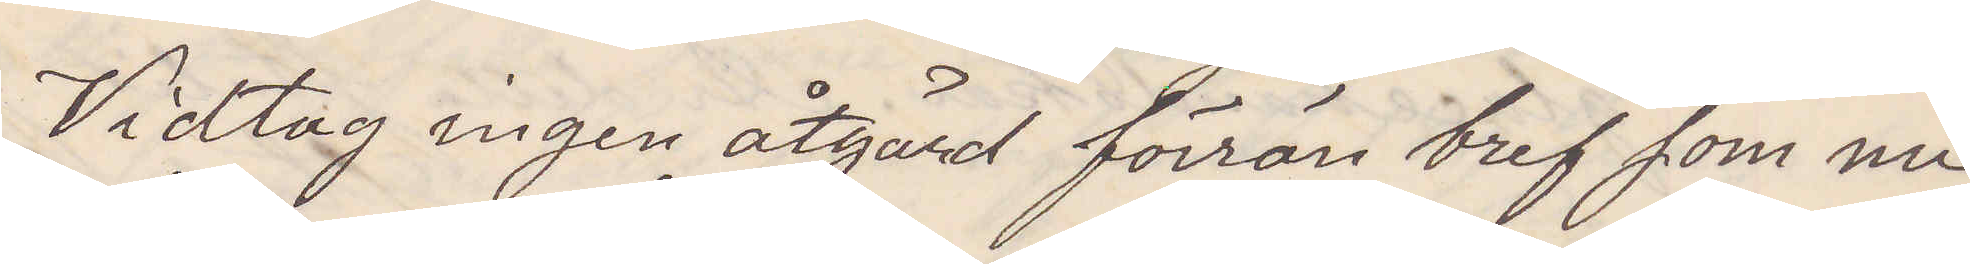Vidtag ingen åtgärd förrän bref som nu
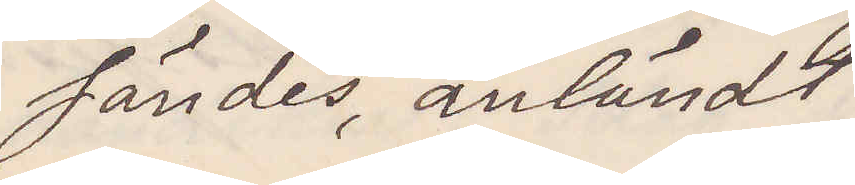sändes, anländt
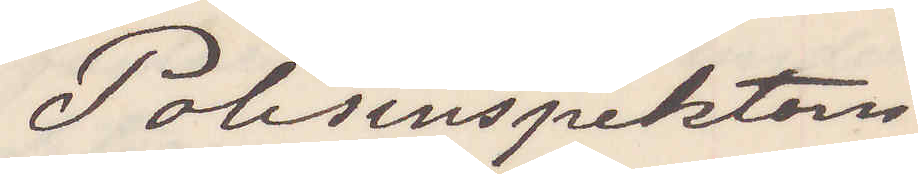Polisinspektorn
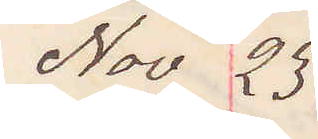Nov 23
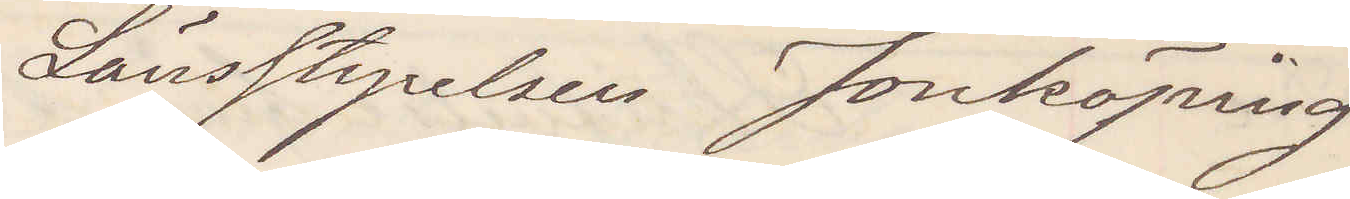Länsstyrelsen Jonköping
